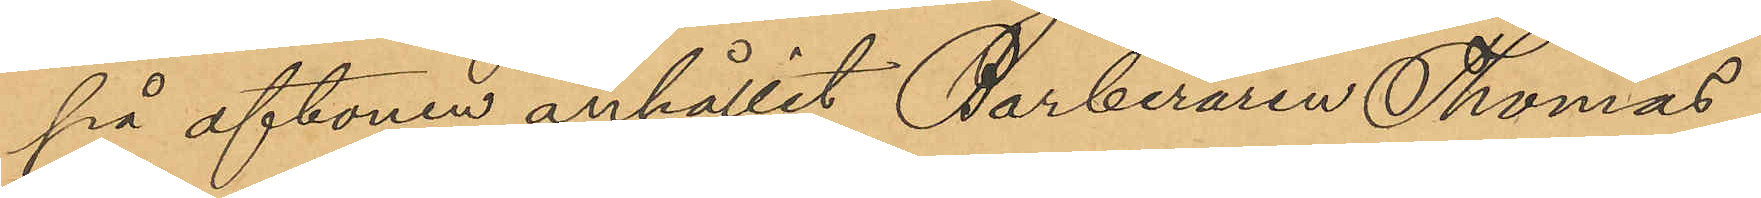på aftonen anhållit Barberaren Thomas
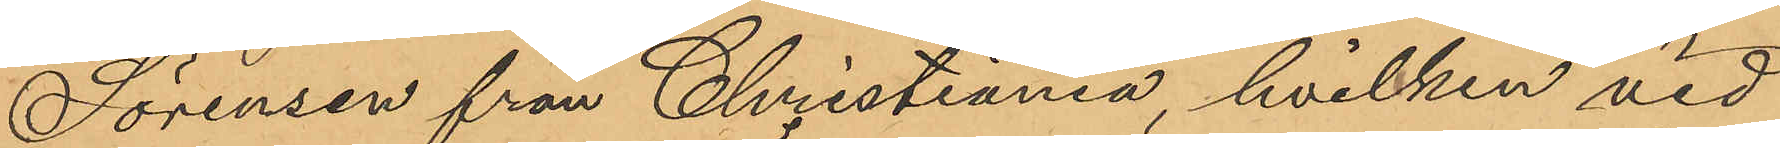Sörensen från Christiania, hvilken vid
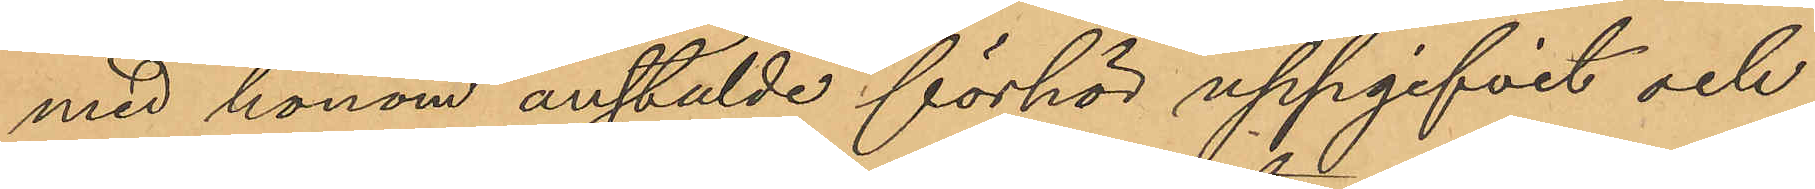med honom anstälde förhör uppgifvit och
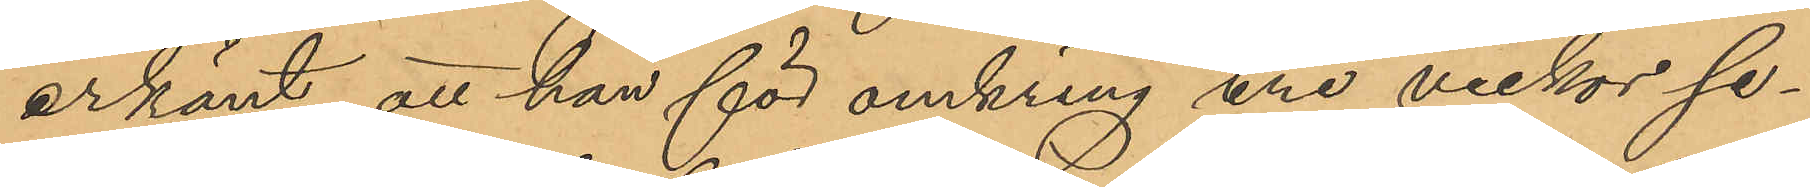erkänt, att han för omkring tre veckor se¬
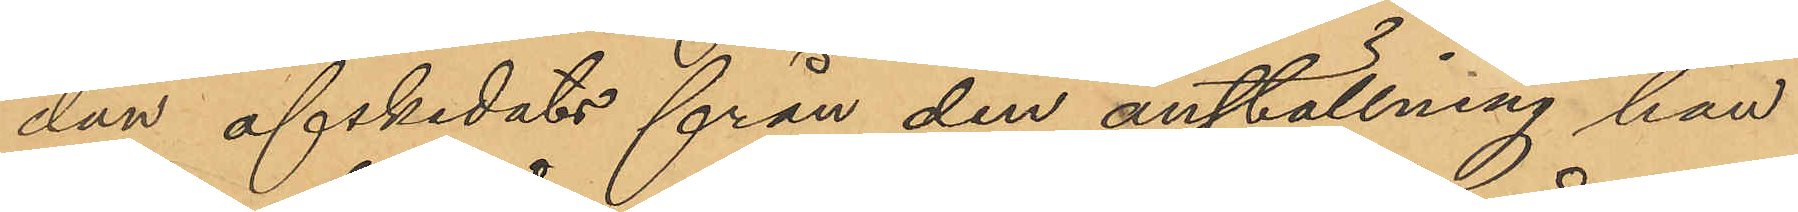dan afskedats från den anställning han
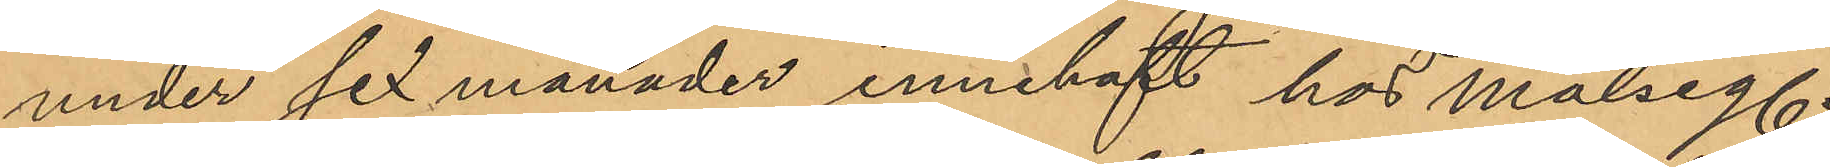under sex månader innehaft hos målseg;
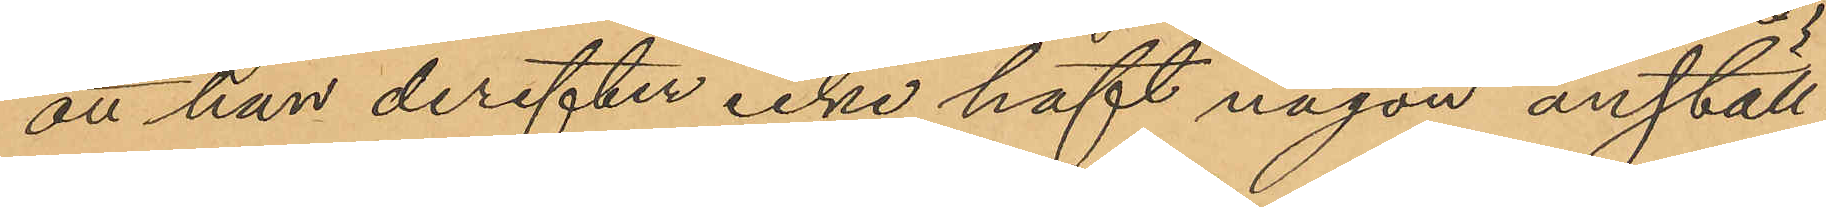att han derefter icke haft någon anställ¬
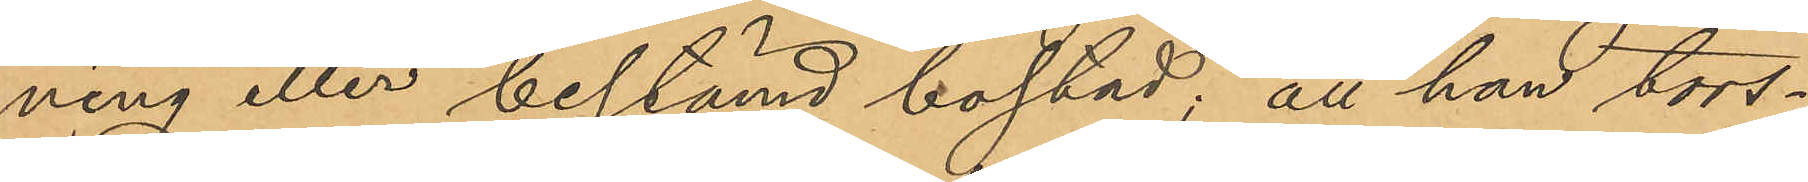ning eller bestämd bostad, att han tors¬
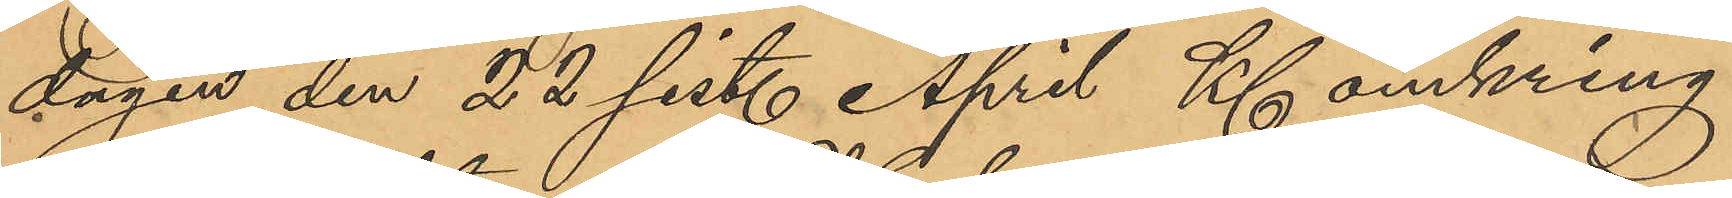dagen den 22 sist. April Kl omkring
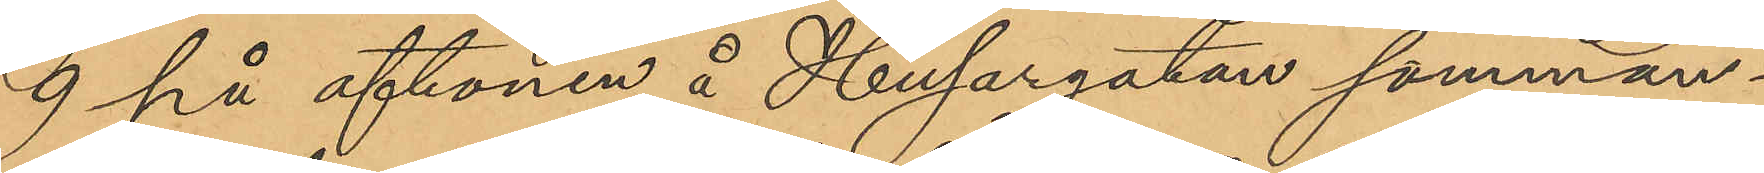9 på aftonen å Husargatan samman¬
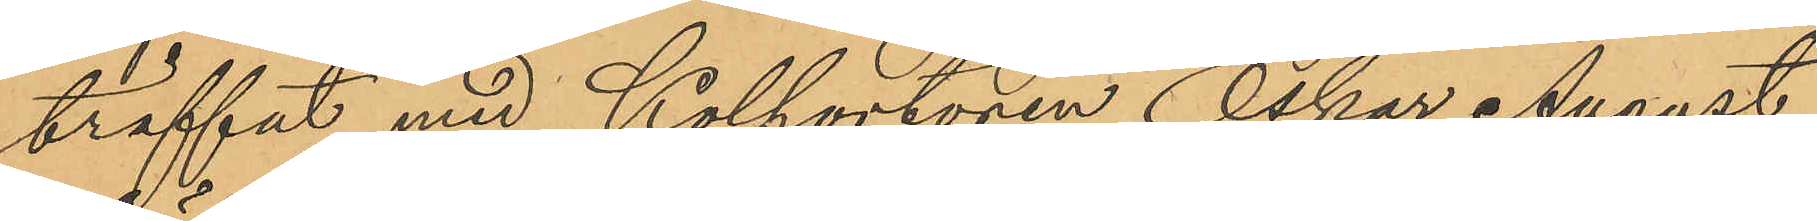träffat med Kolportören Oskar August
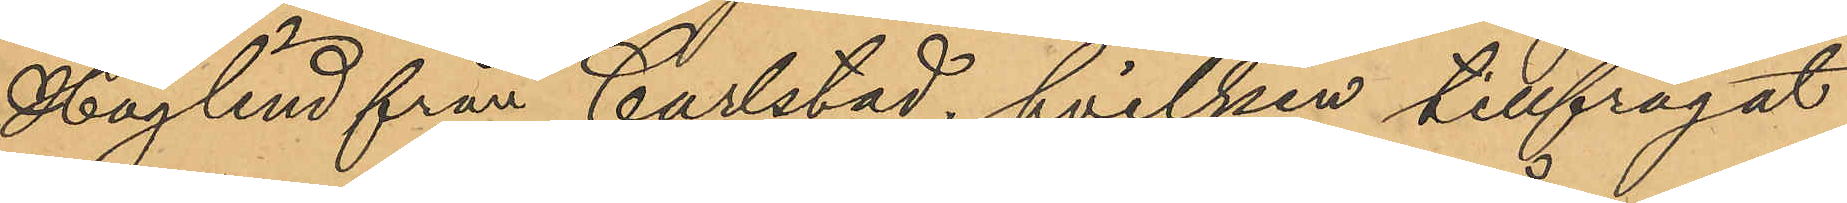Höglind från Carlstad, hvilken tillfrågat
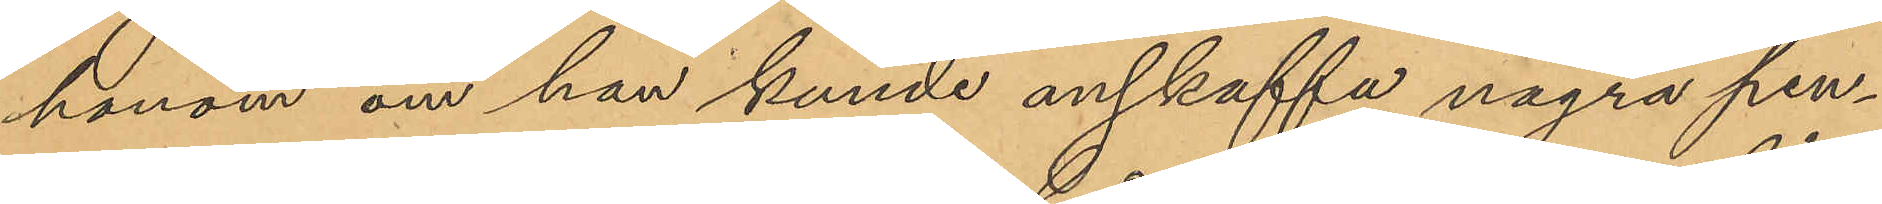honom om han kunde anskaffa några pen¬
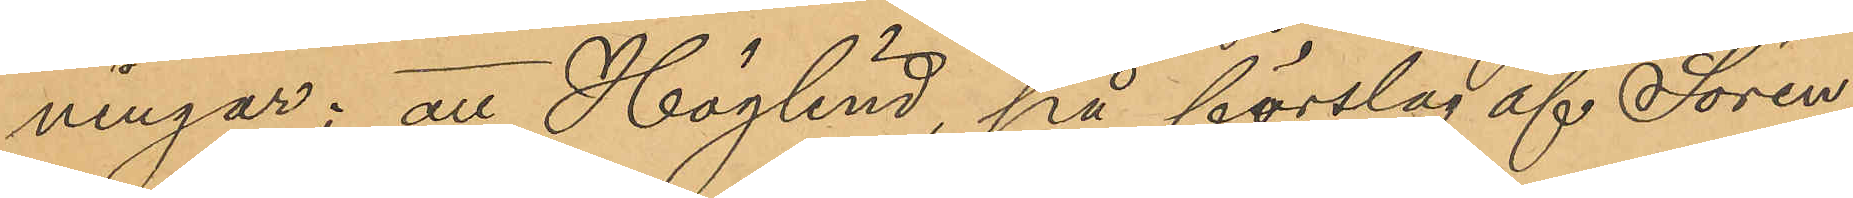ningar; att Höglind, på förslag af Sören¬
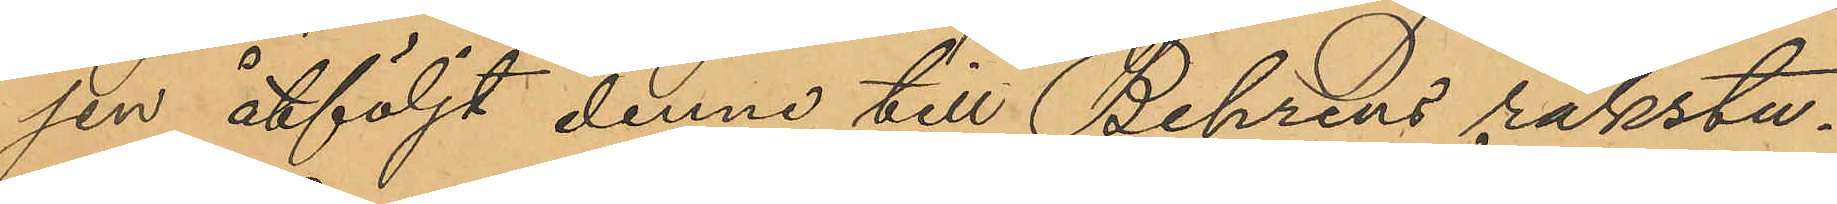sen åtföljt denne till Behrens rakstu¬
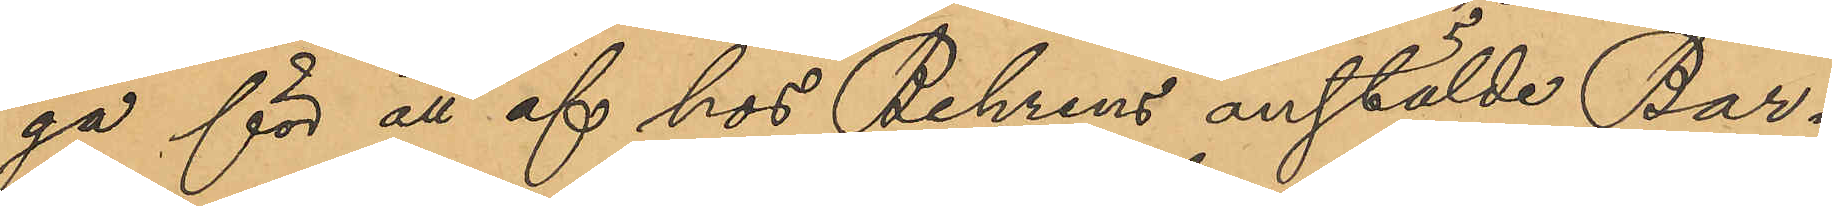ga för att af hos Behrens anstälde Bar¬
